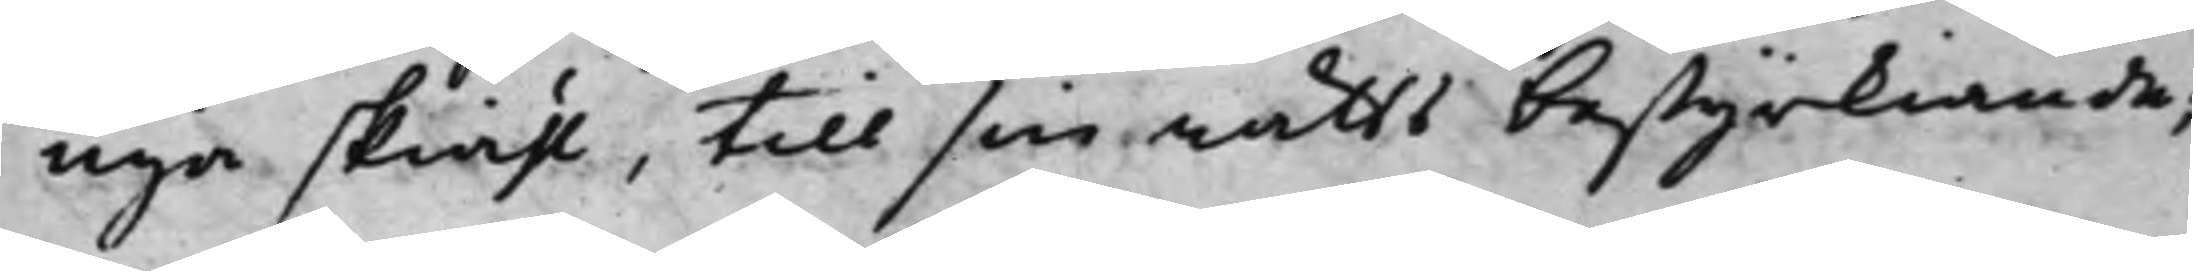nya skiähl, till sin rätts bestyrkiande;
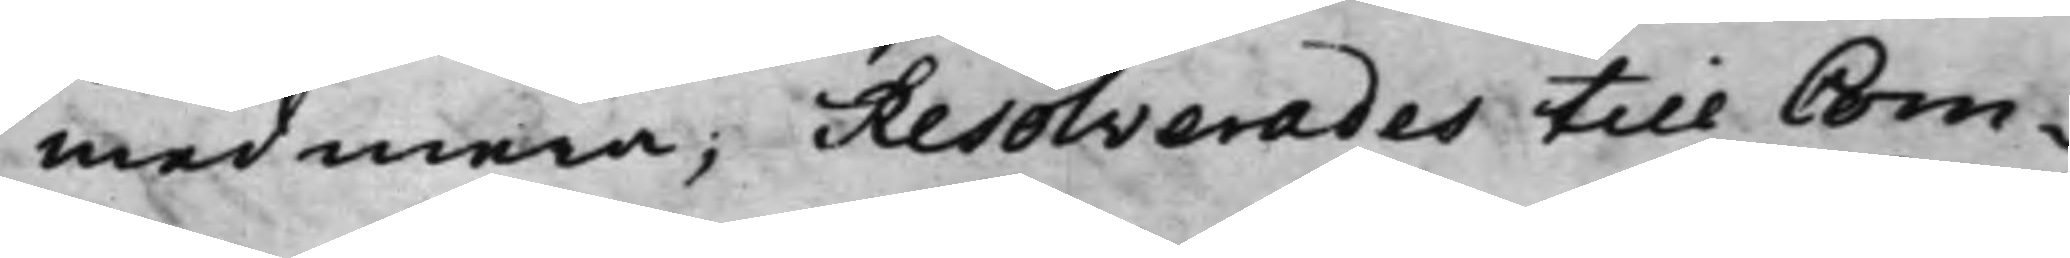med mera, Resolverades till Com¬
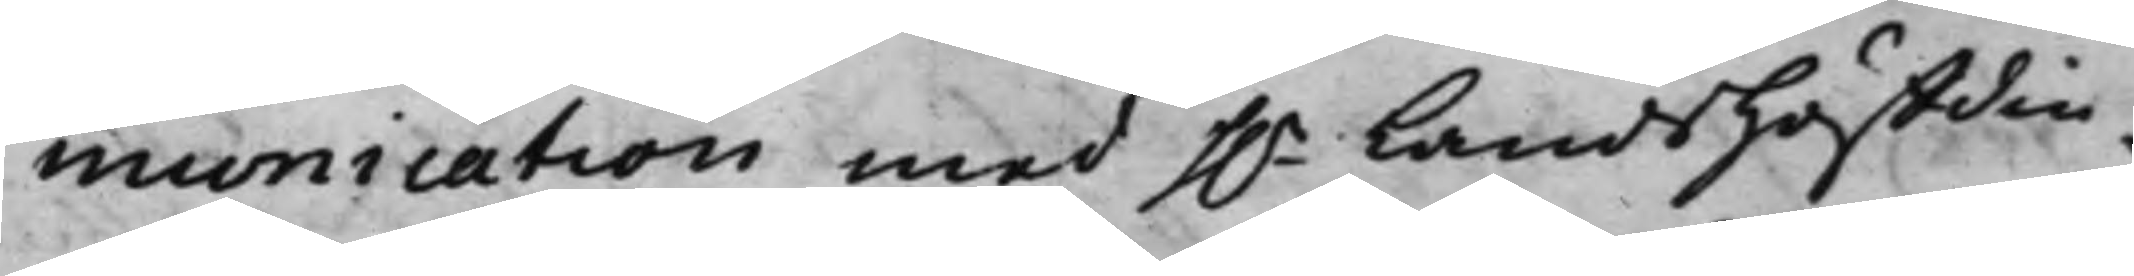munication med h.r Landshöffdin¬
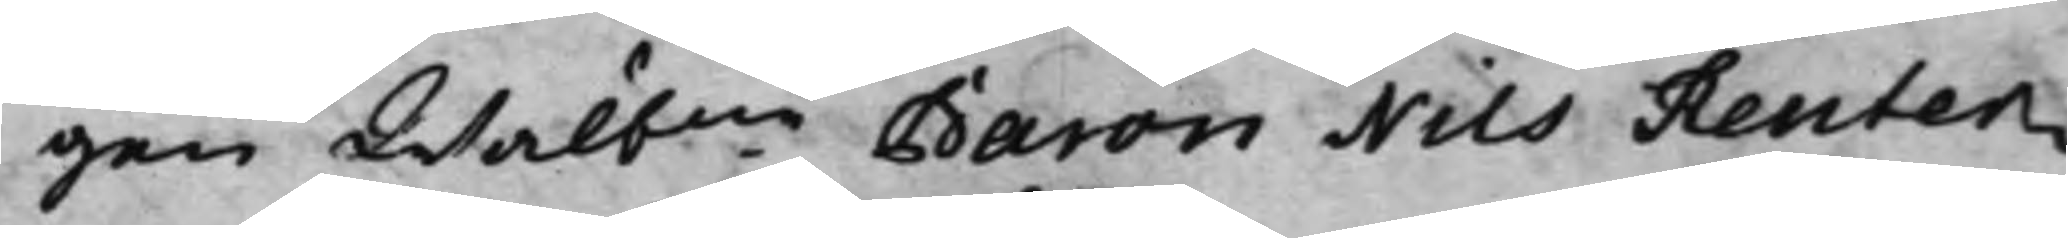gen Wälbne Baron Nils Reuter¬
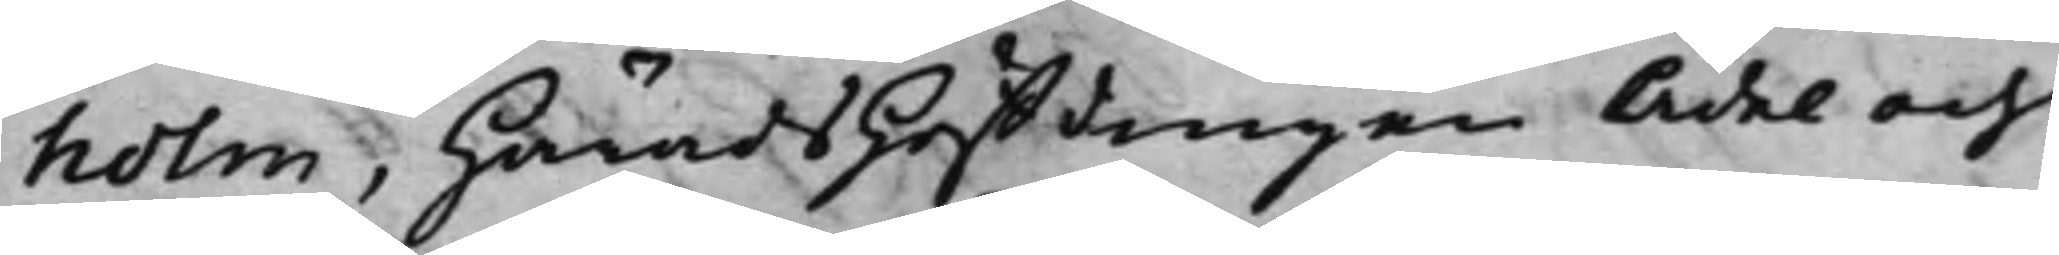holm, HäradsHöffdingen Ädel och
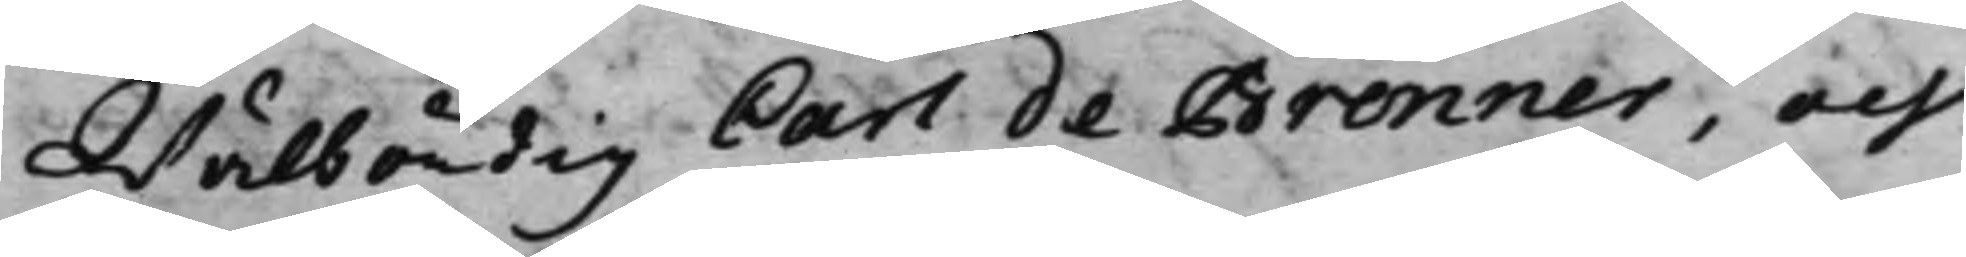Wälbördig Carl de Brenner, och
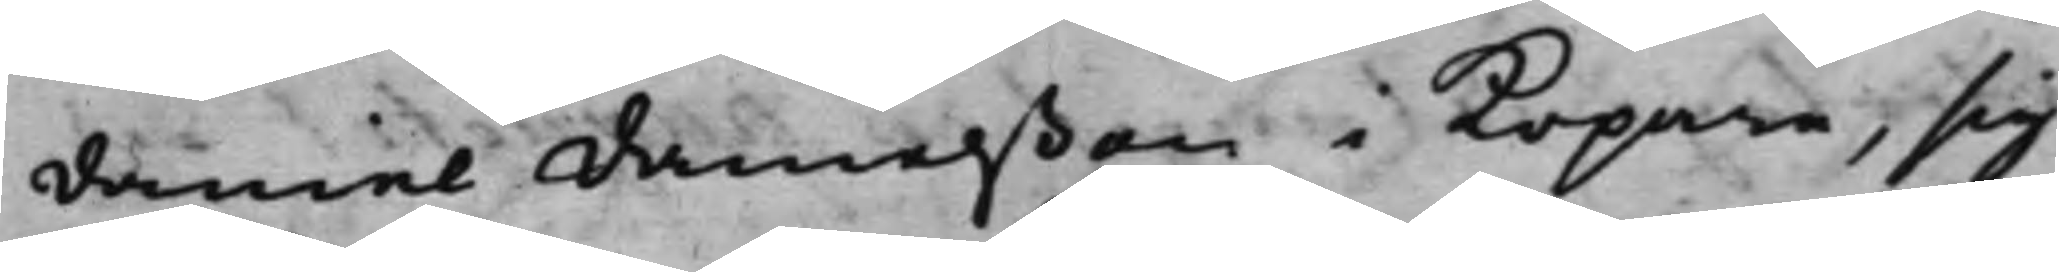Daniel Danielßon i Kopare, sig
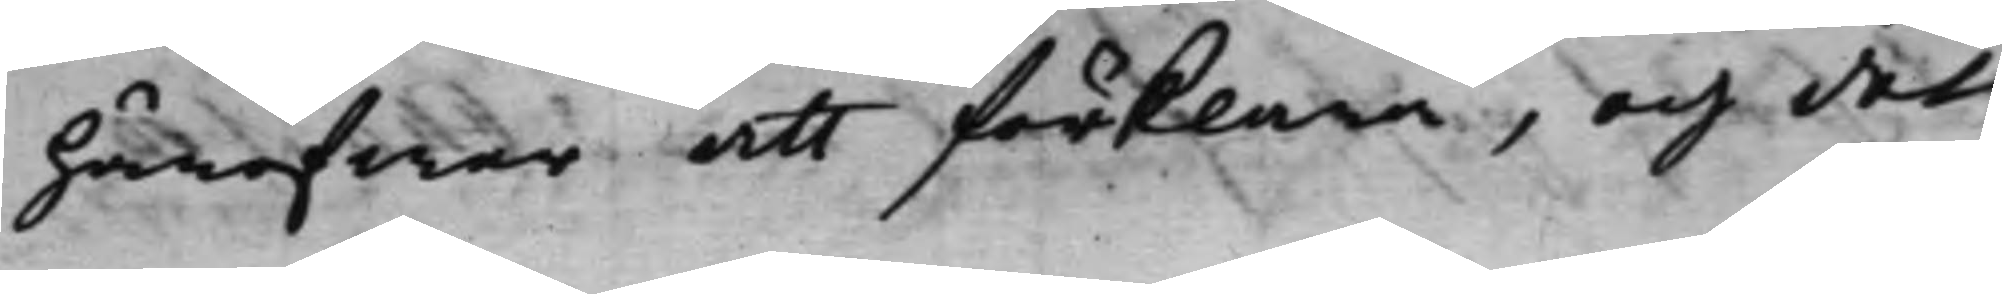häröfwer att förklara, och det
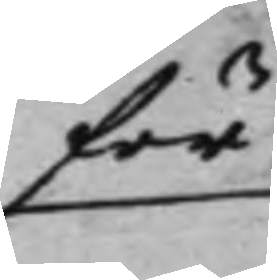för
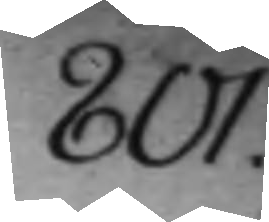801.
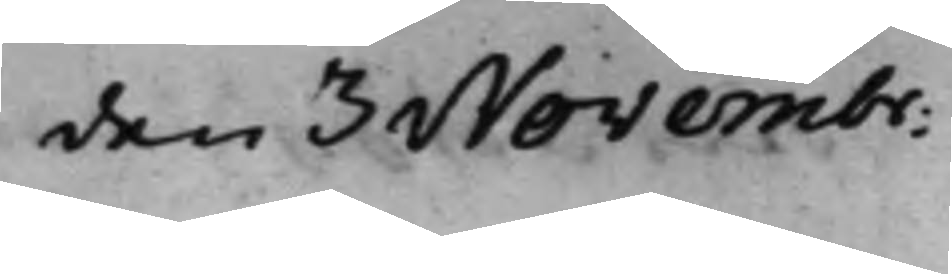den 3 Novembr:
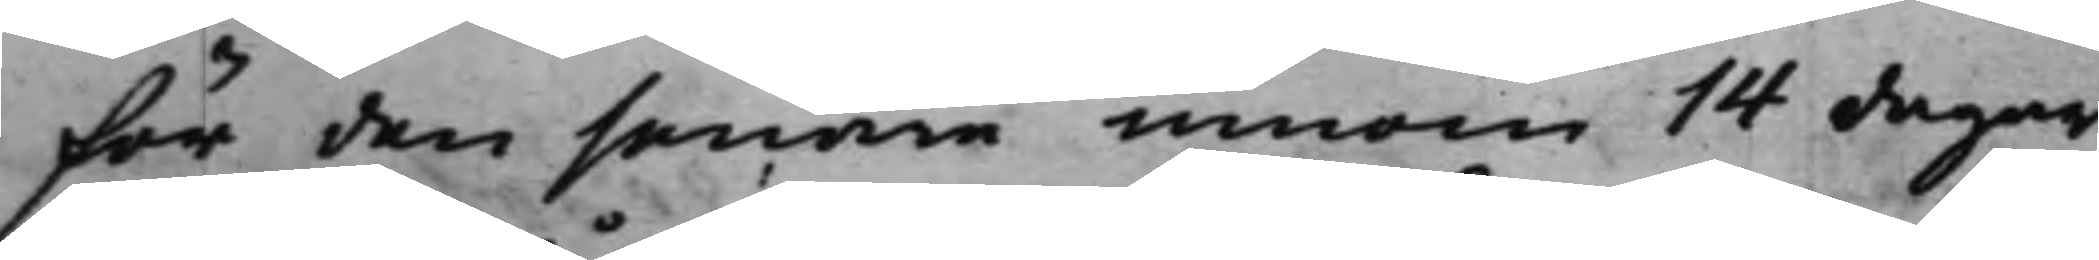för den senare innom 14 dagar
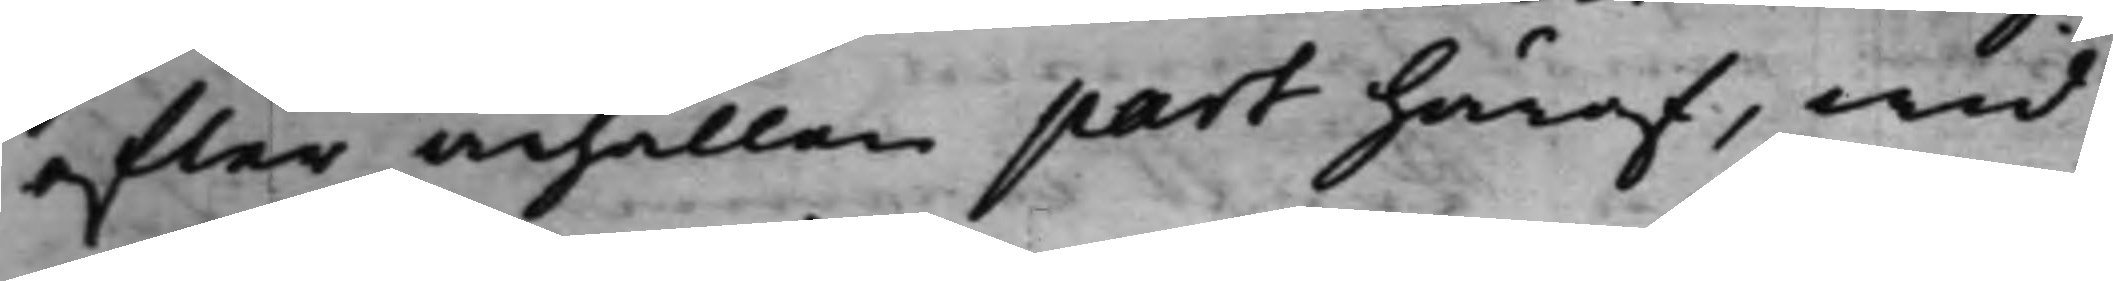efter ärhållen part häraf, wid
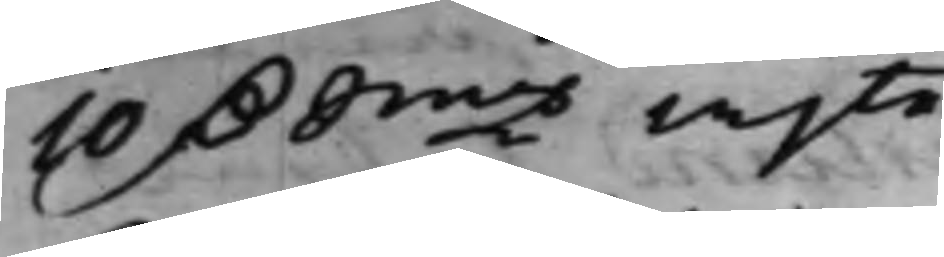10 D. Smtz wjte.
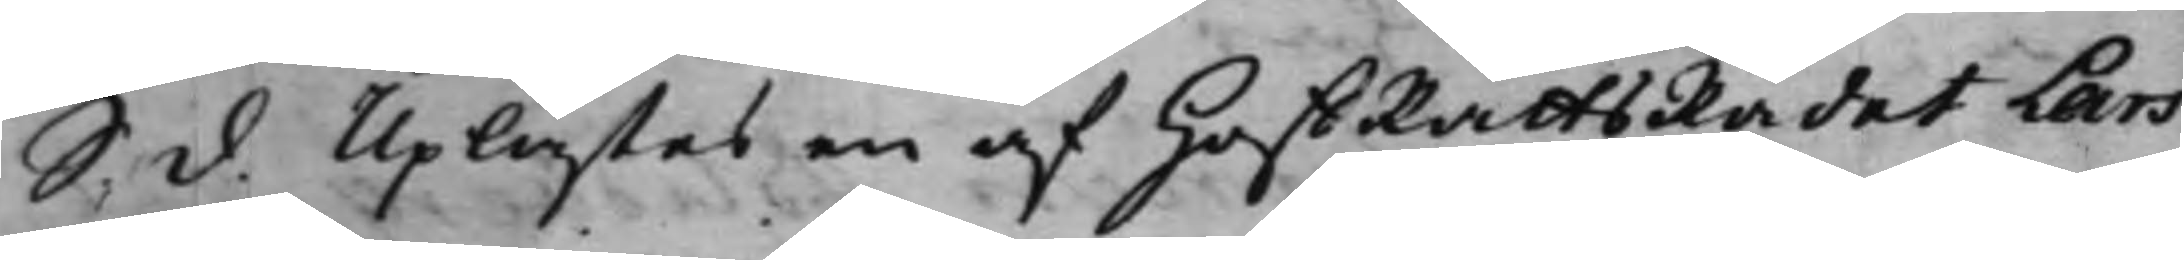S. d. Uplästes en af HoffRättsRådet Lars
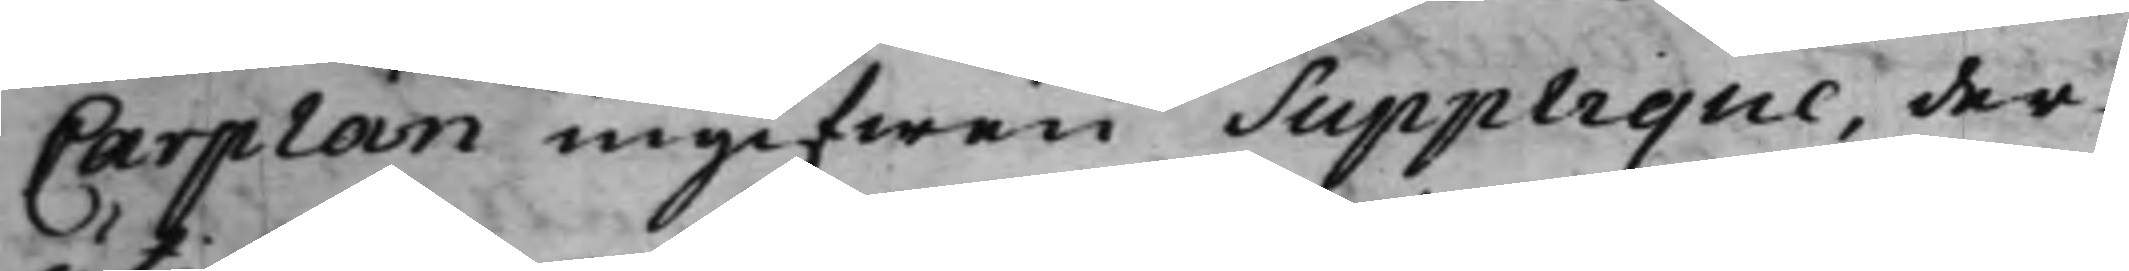Carplan ingifwen Supplique, der¬
